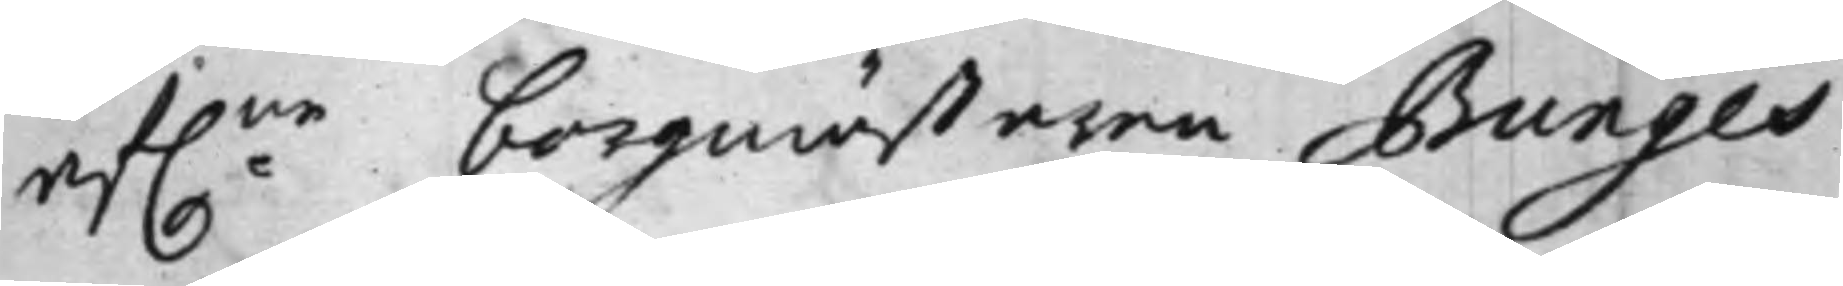af:ne borgmästaren Bunges
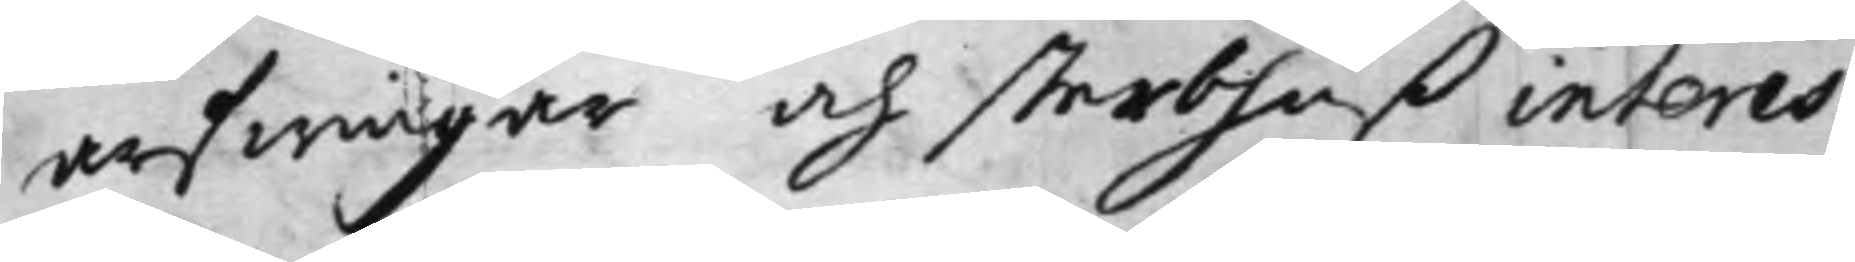arfwingar och sterbhuß interes¬
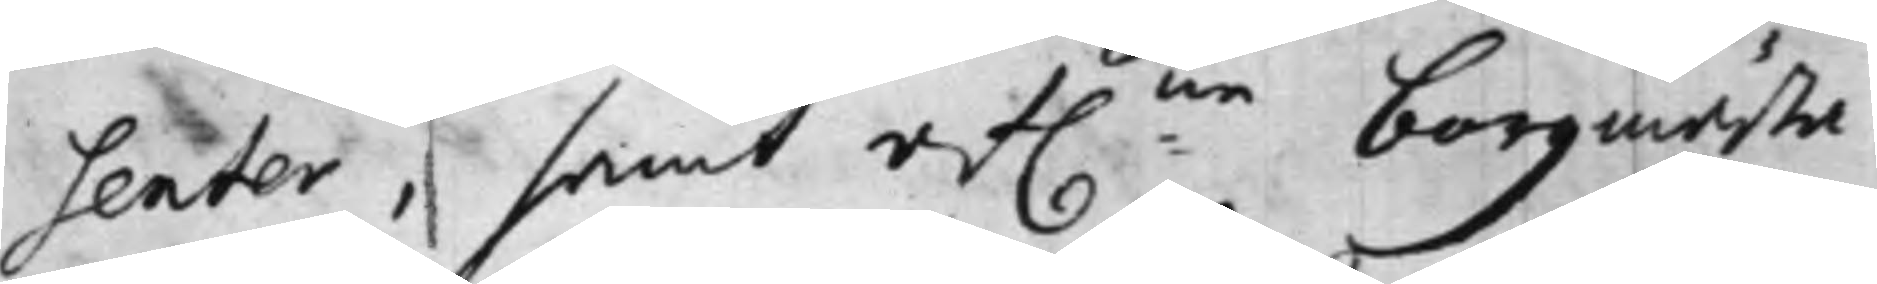senter, samt af:ne borgmästa¬
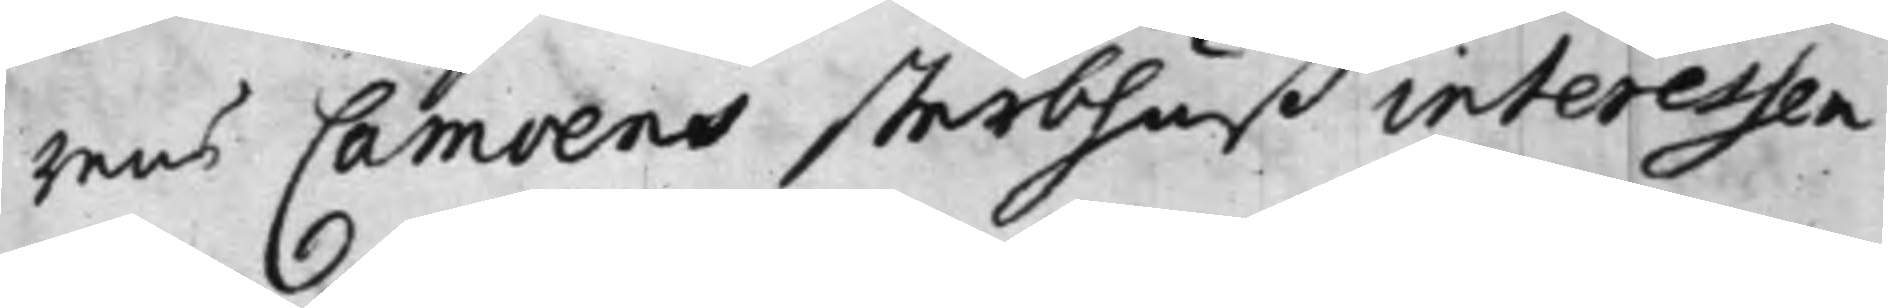rens Camoens sterbhuß interessen¬
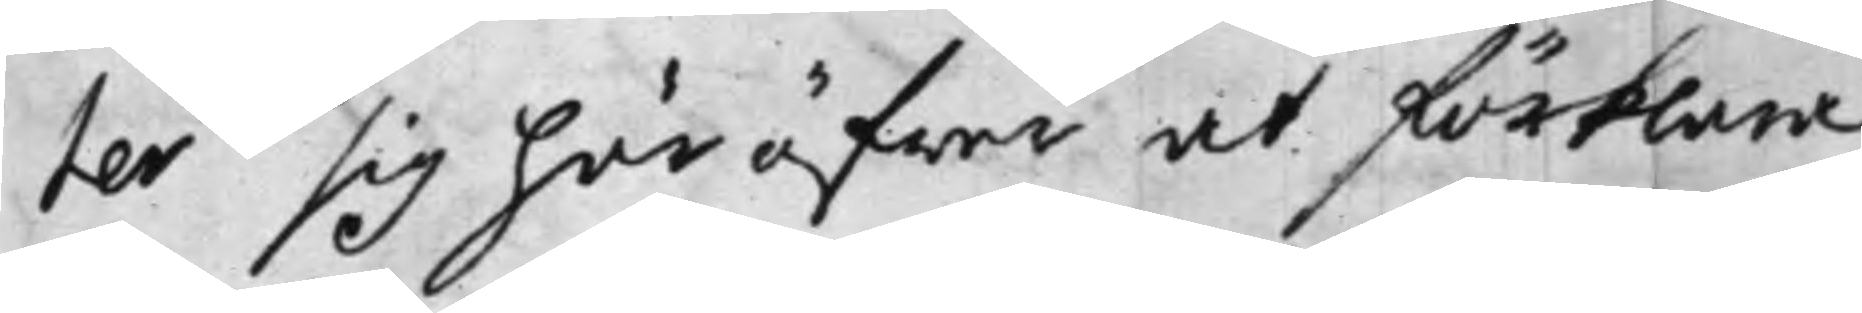ter sig här öfwer at förklara,
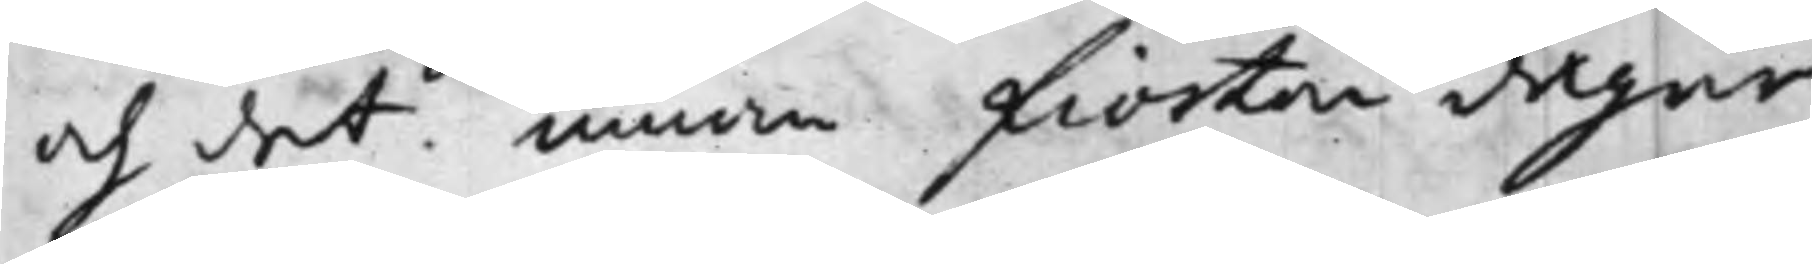och det innom fiorton dagar
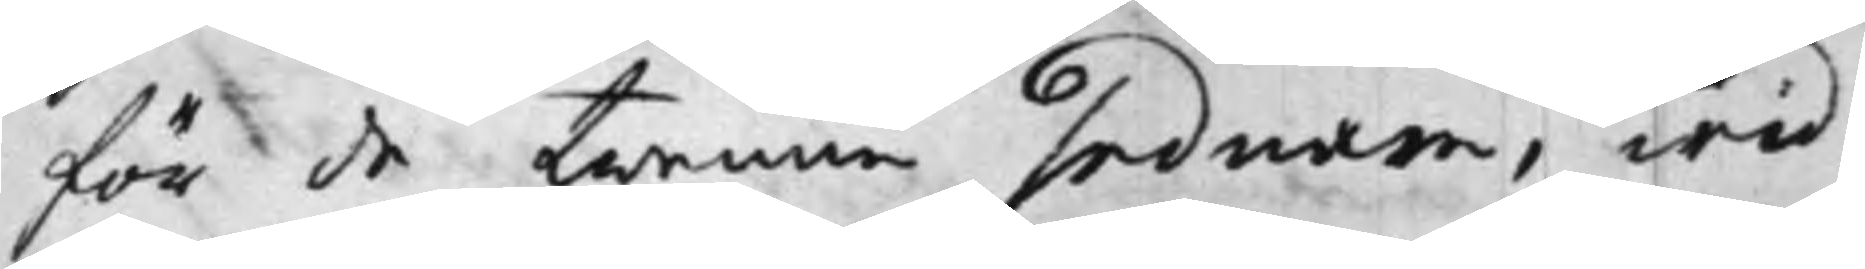för de twenne sednare, wid
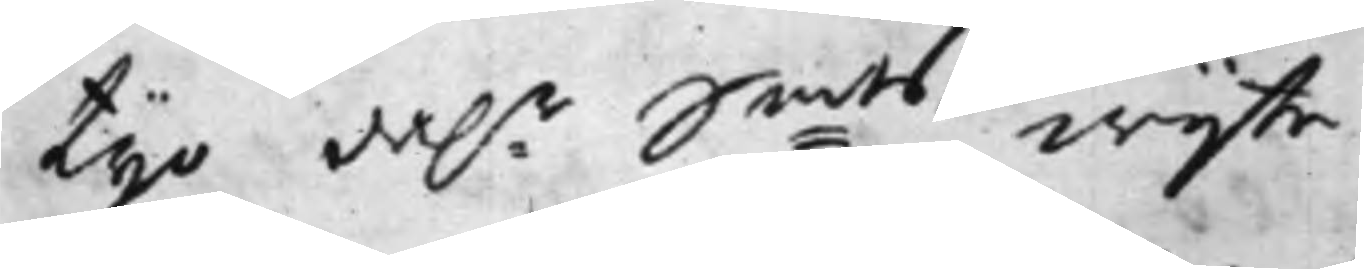tijo dal:r S:mts wijte.
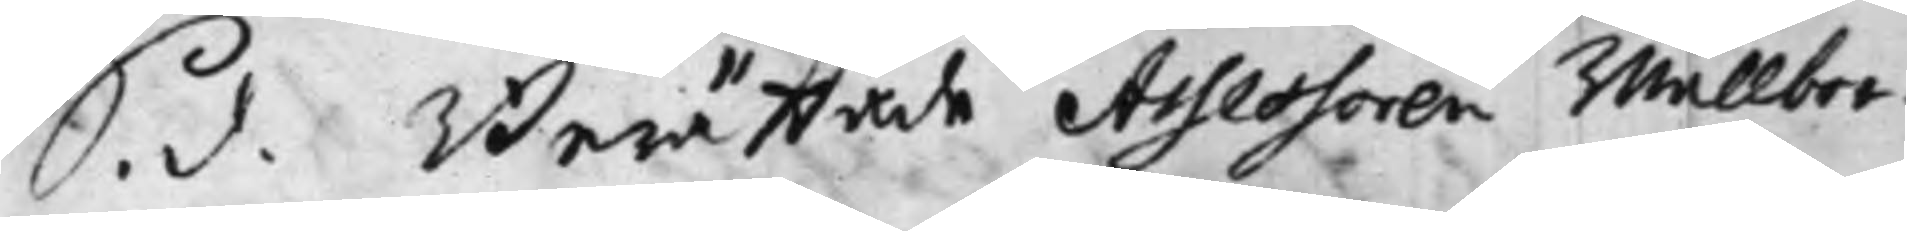S. d. Berättade Assessoren Wällbor¬
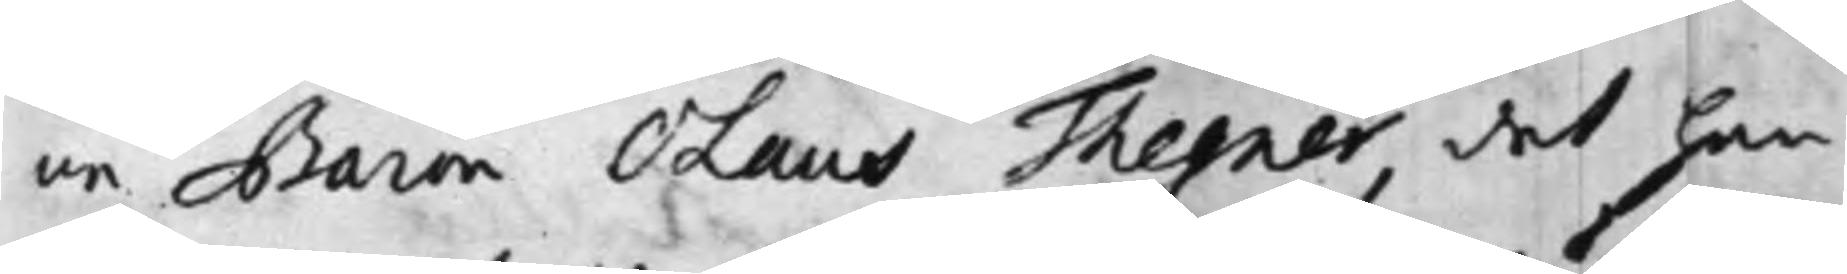ne Baron Olaus Thegner, det han
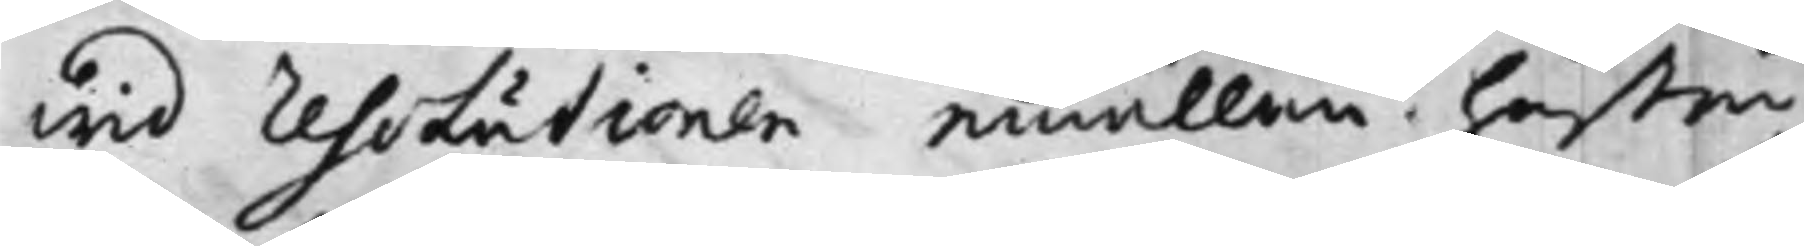wid Resolutionen emällan hustru
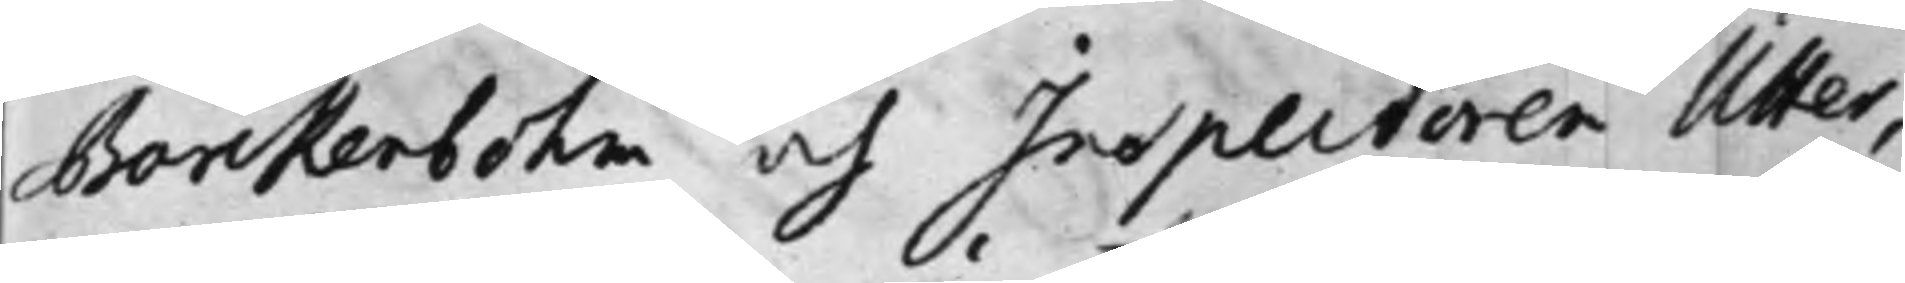Barckenbohm och Inspectoren Utter,
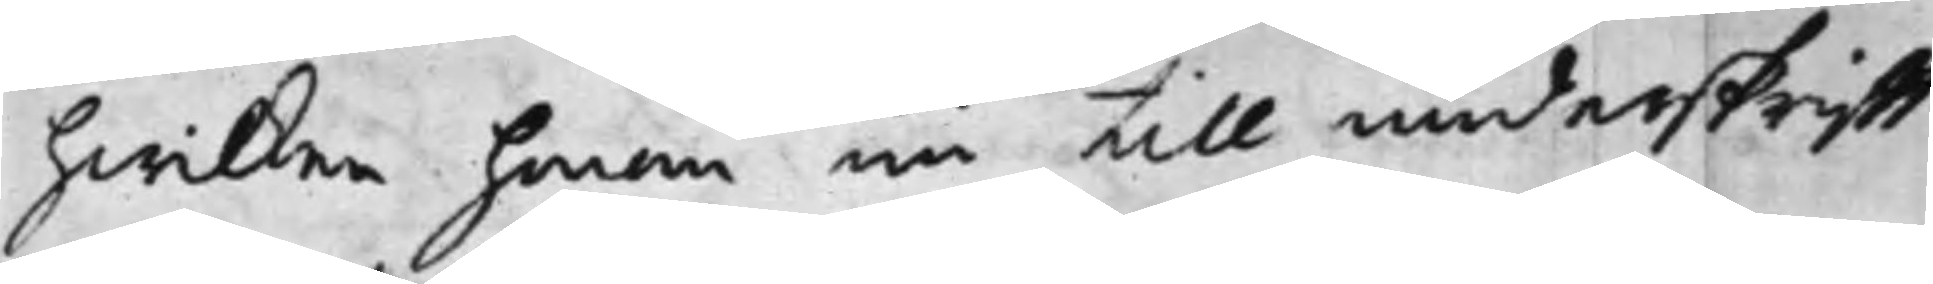hwilken honom nu till underskrifft
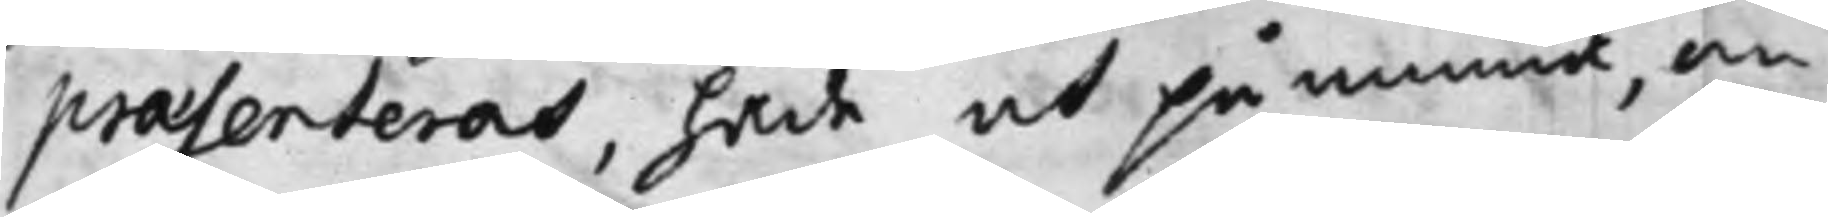praesenteras, hade at påminna, om
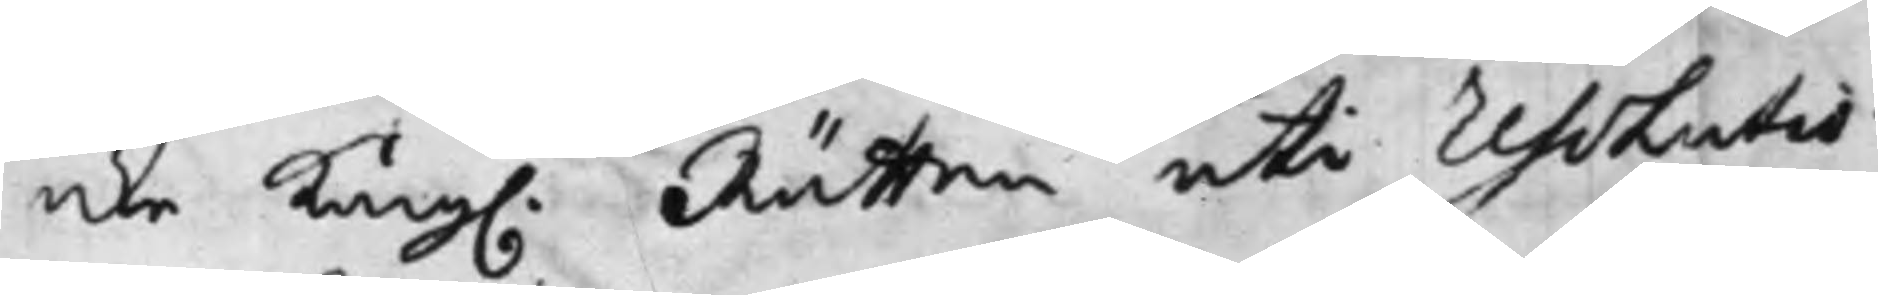icke Kong. Rätten uti Resolutio¬
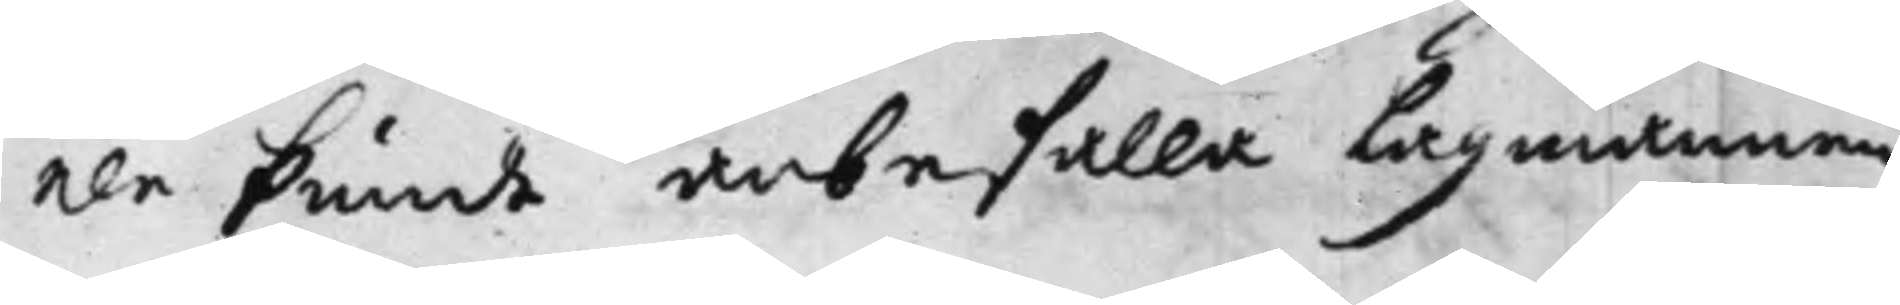nen kunde anbefalla Lagmannen,
